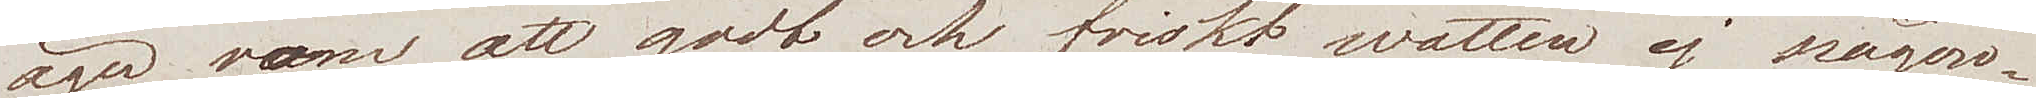äger som ett godt och friskt watten ej någon¬
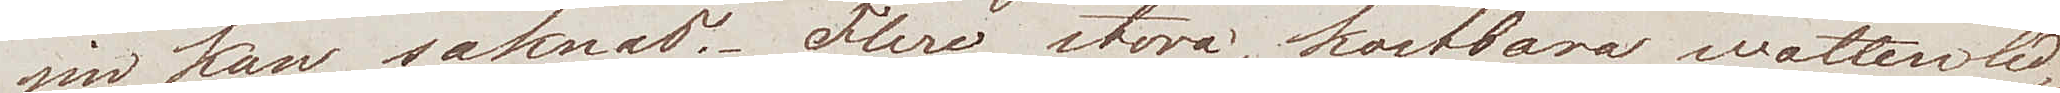sin kan saknas. Flere stora kostbara wattenled¬
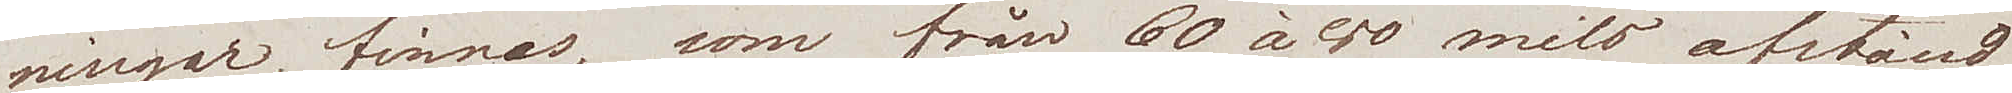ningar finnas, som från 60 à 80 mils afstånd
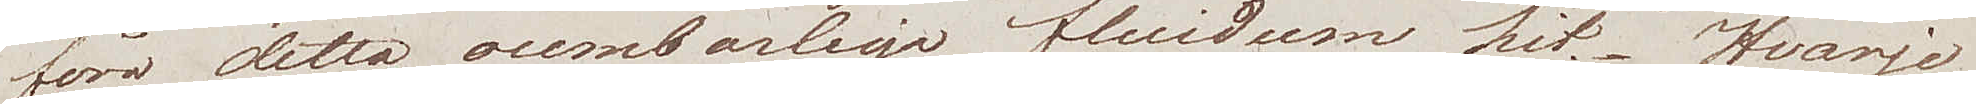föra detta oumbärliga fluidum hit. Hvarje
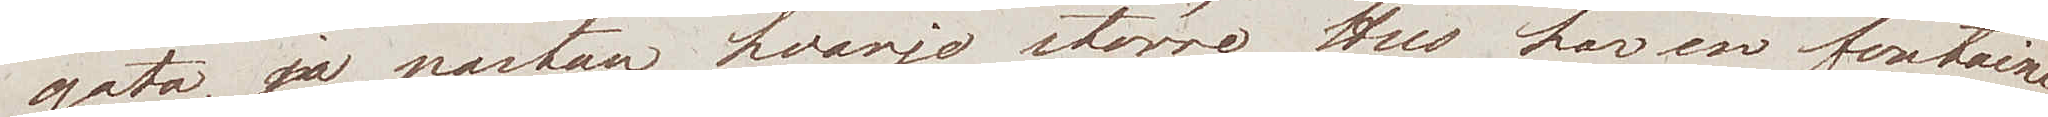gata, ja nästan hvarje större Hus, har en fontaine.
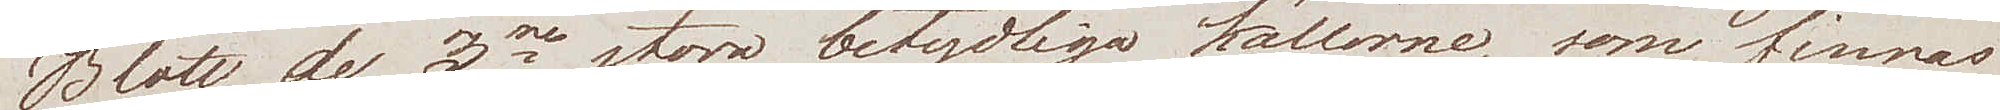Blott de 3ne stora betydliga källorne, som finnas
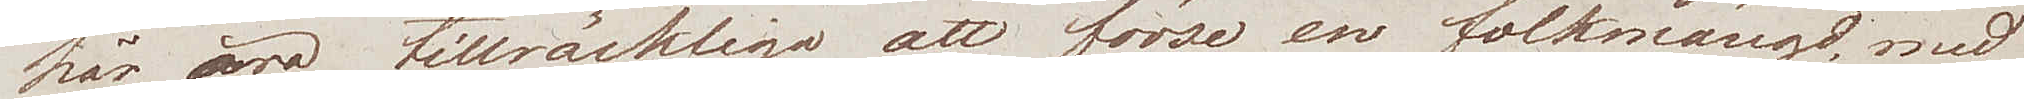här, äro tillräckliga att förse en folkmängd med
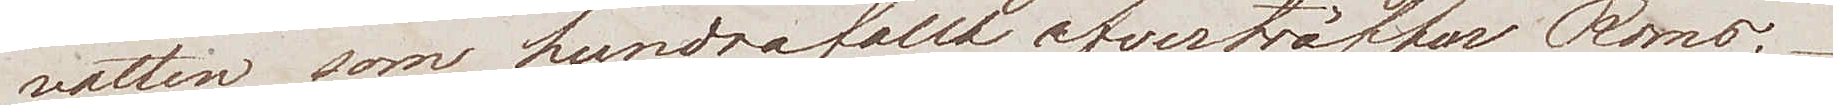vatten, som hundrafallt  öfverträffar Roms.
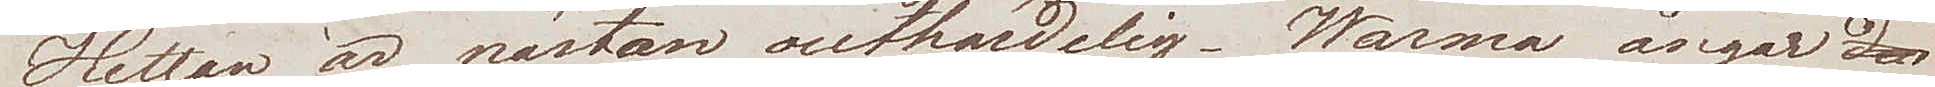Hettan är nästan outhärdlig. Warma ångor
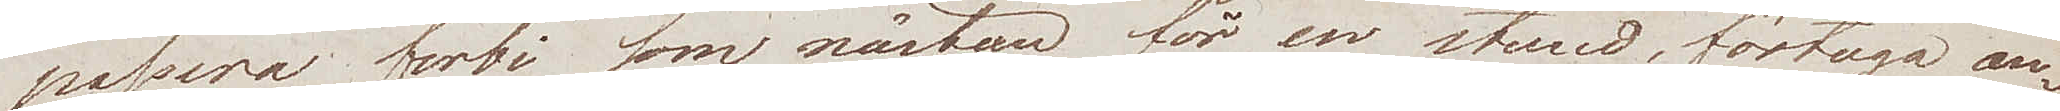passera förbi som nästan för en stund förtogo an¬
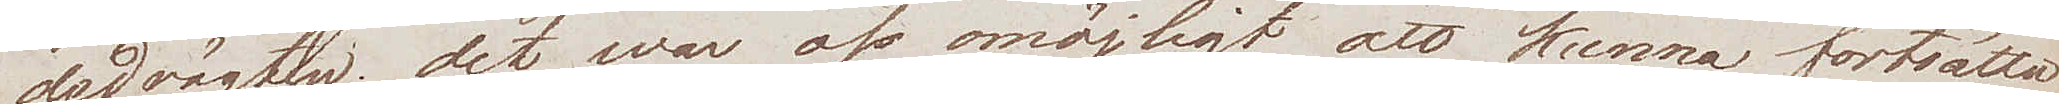dedrägten; det war oss omöjligt att kunna fortsätta
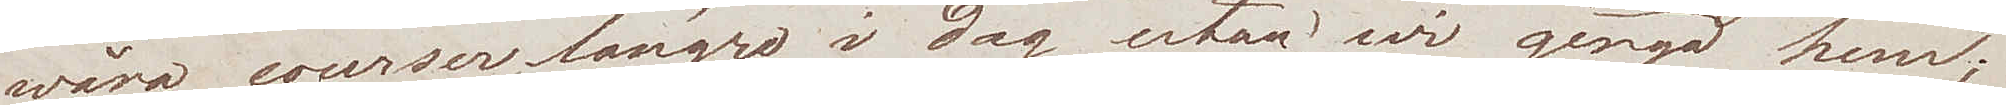wåra courser längre i dag, utan wi gingo hem;
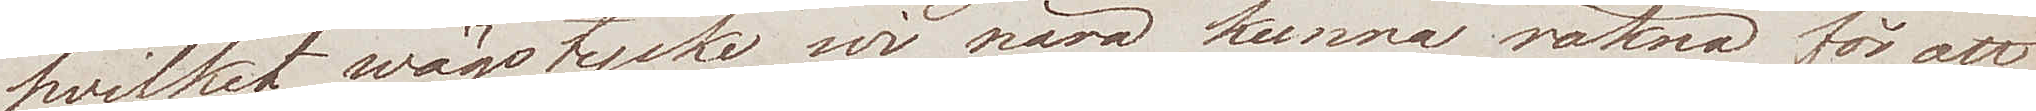hvilket wägstycke wi nära kunna räkna för att
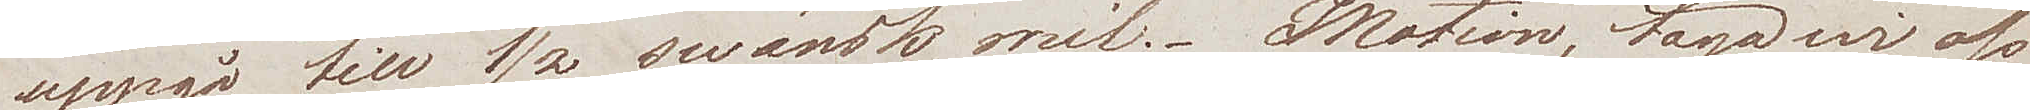uppgå till ½ swänsk mil. Motion, taga wi oss
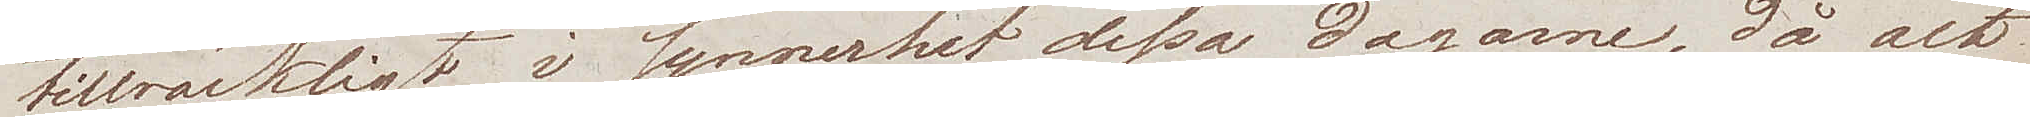tillräckligt i synnerhet dessa dagarne, då alt
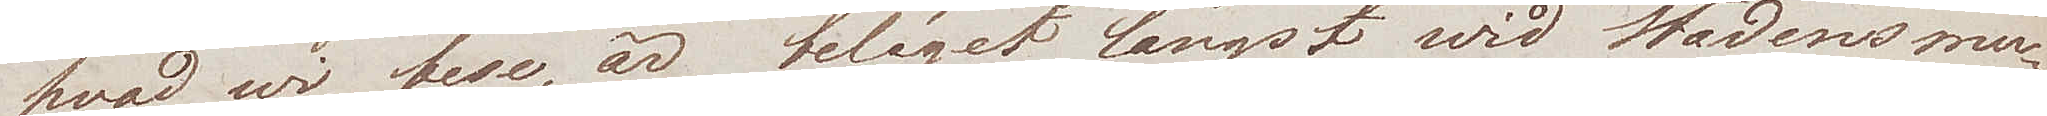hvad wi bese, är beläget längst wid Stadens mu¬
